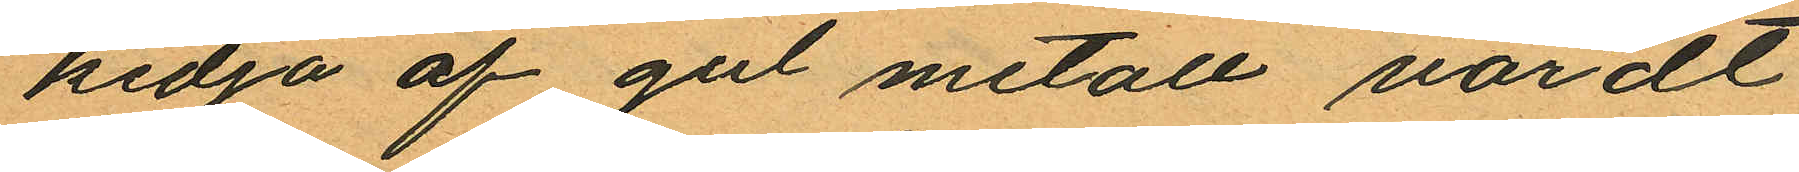kedja af gul metall värdt
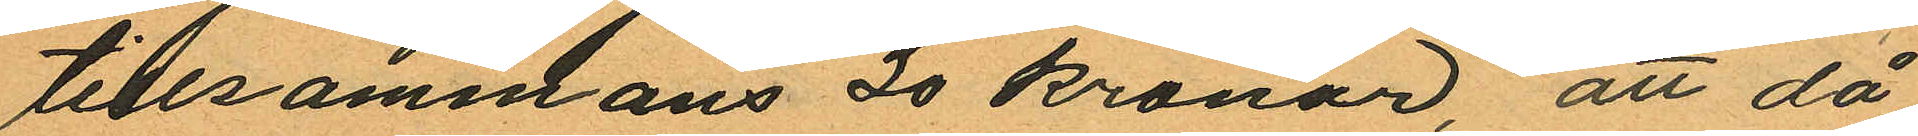tillsammans 20 kronor, att då
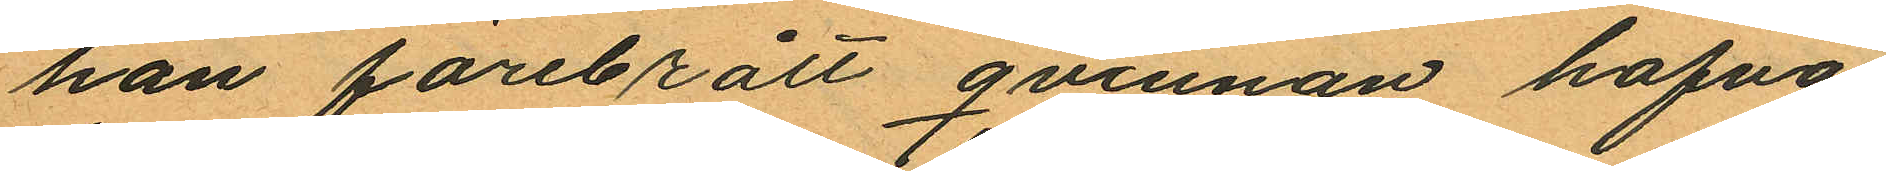han förebrått qvinnan hafva
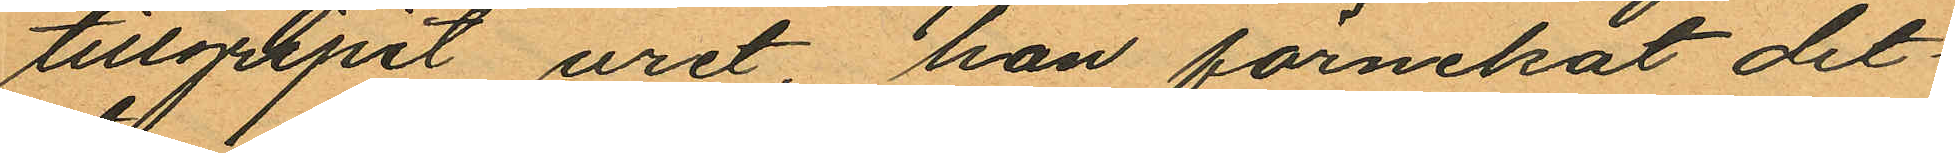tillgripit uret hon förnekat det
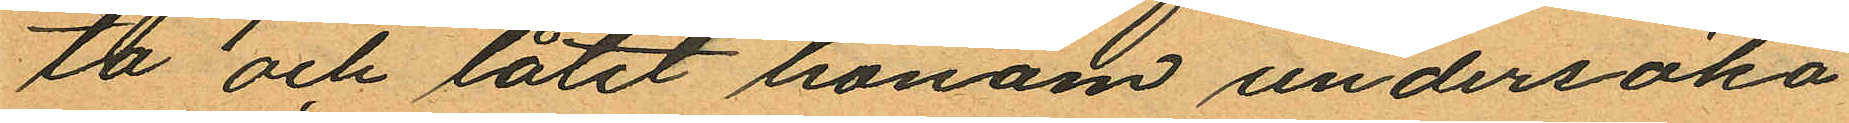ta och låtit honom undersöka
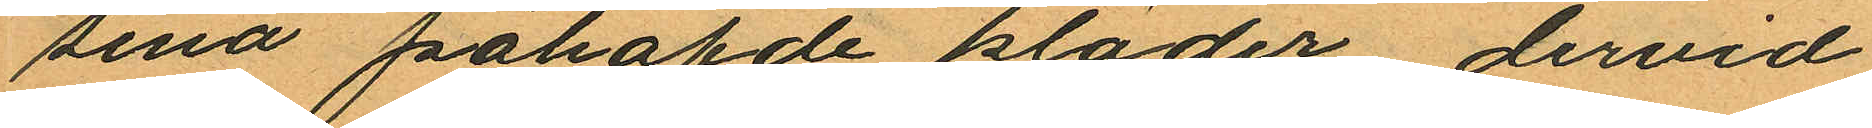sina påhafde kläder, dervid
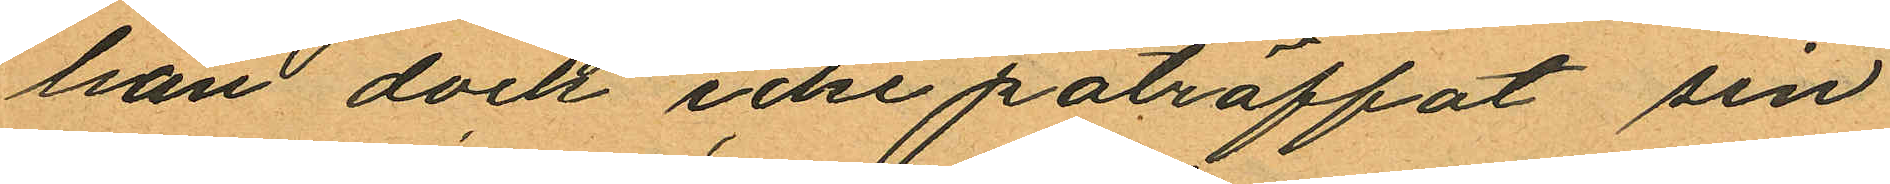han dock icke påträffat sin
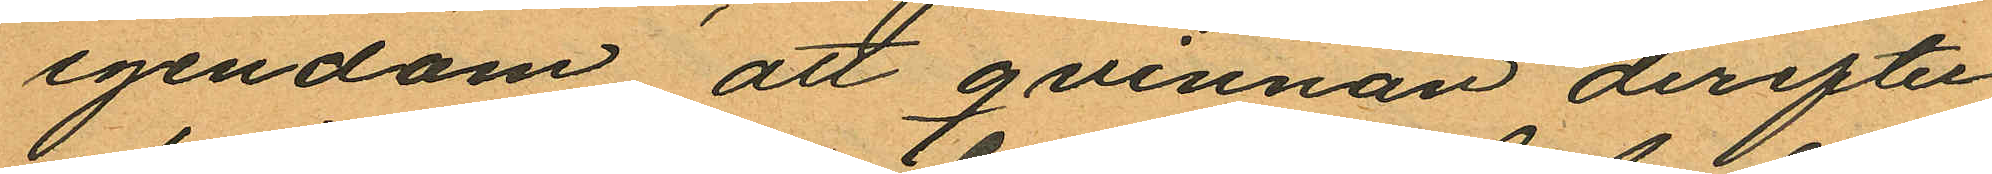egendom att qvinnan derefter
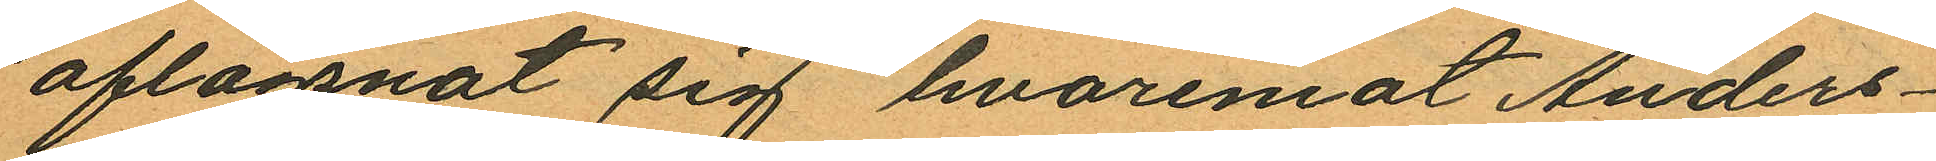aflägsnat sig hvaremot Anders¬
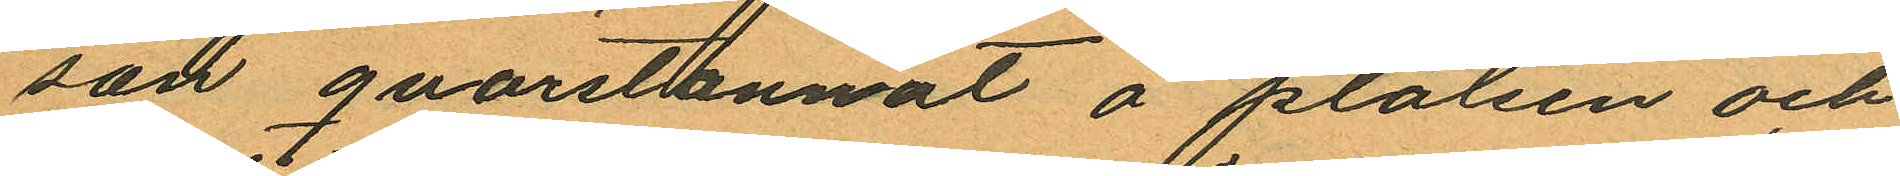san qvarstannat å platsen och
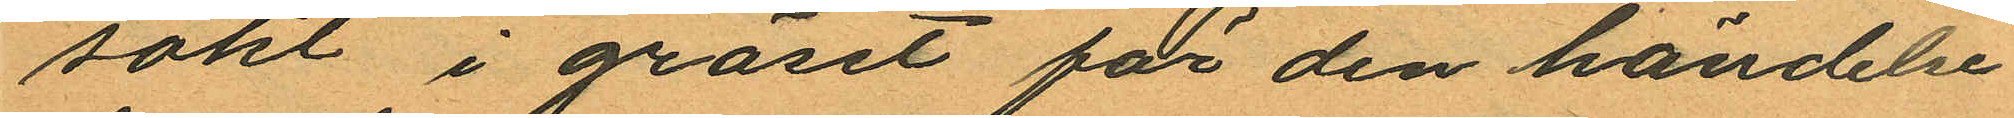sökt i gräset för den händelse
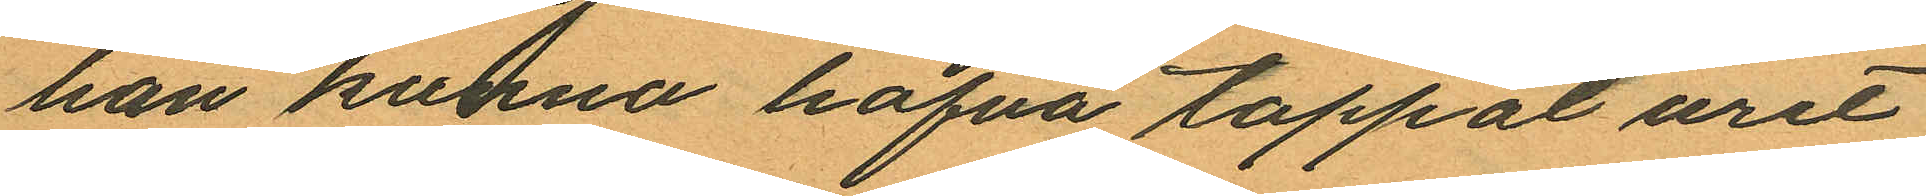han kunna hafva tappat uret
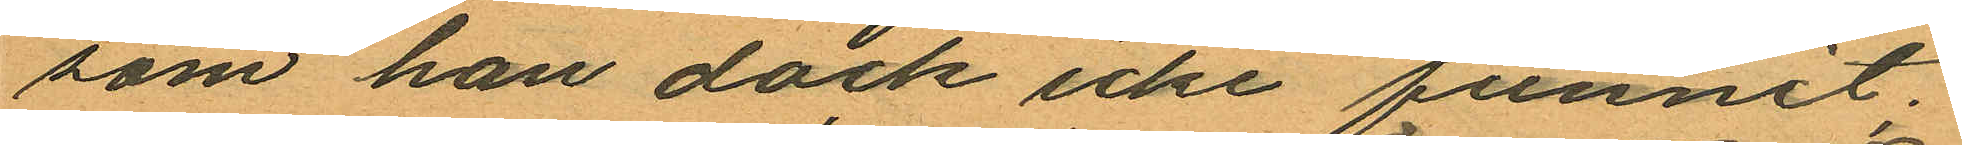som han dock icke funnit;
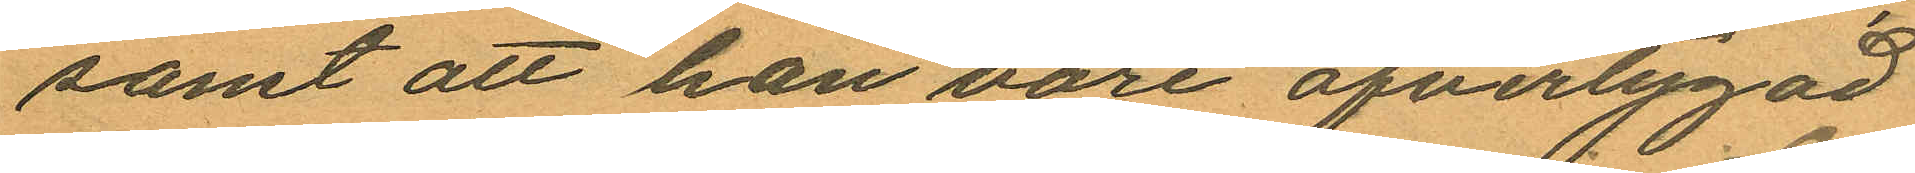samt att han vore öfvertygad
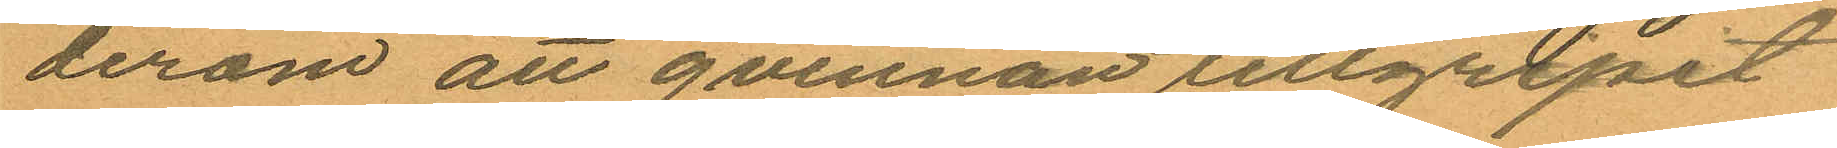derom att qvinnan tillgripit
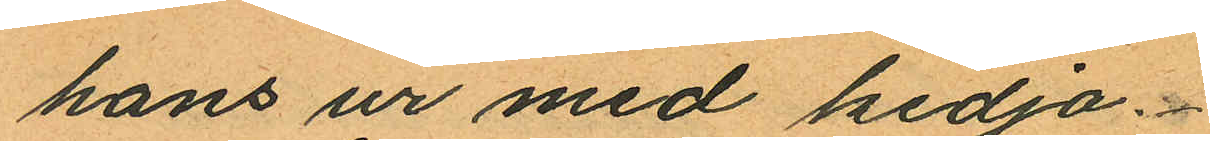hans ur med kedja.
